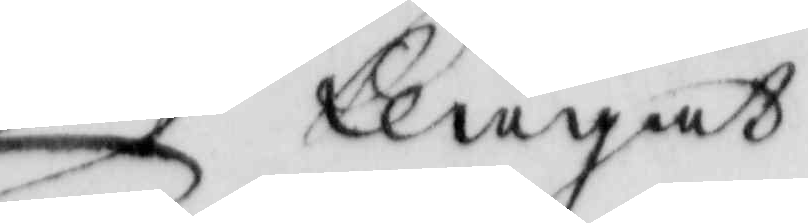klagat
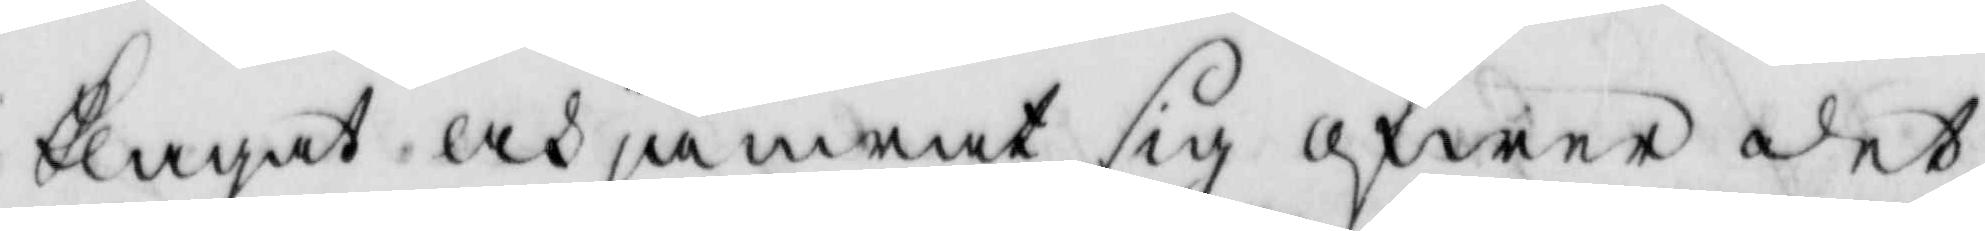klagat och jämrat sig öfwer det
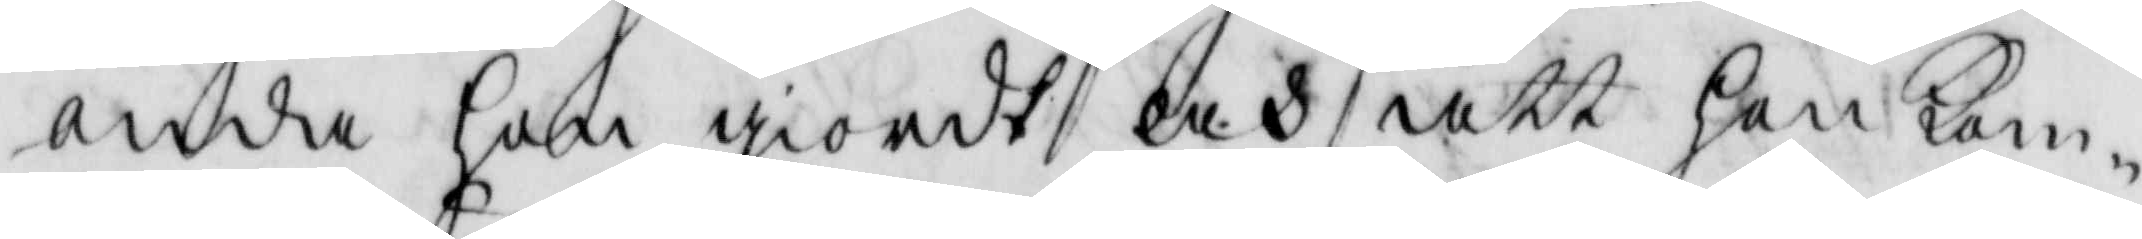onda hon giordt och att hon kom¬
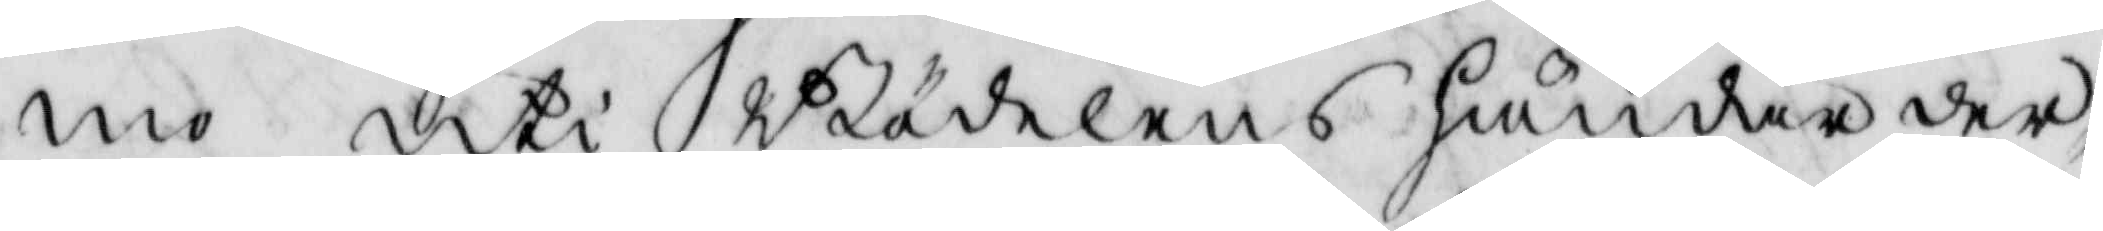mo uti Bödelens händer der¬
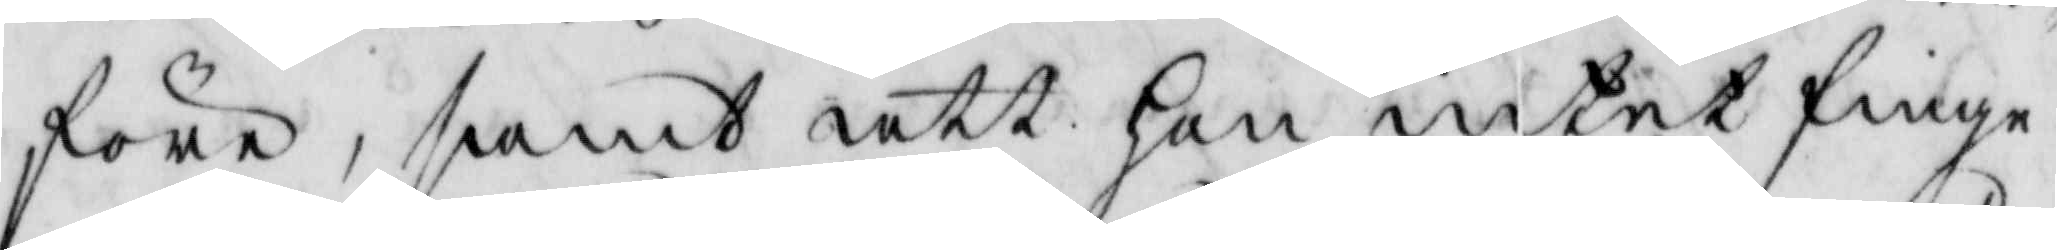före, samt att hon intet finge
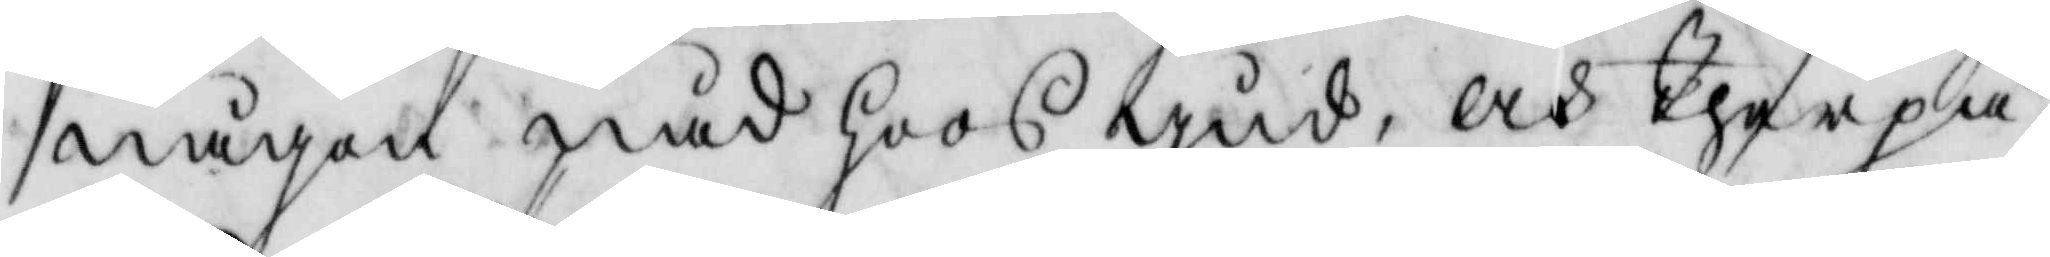någon nåd hoos gud, och therpå
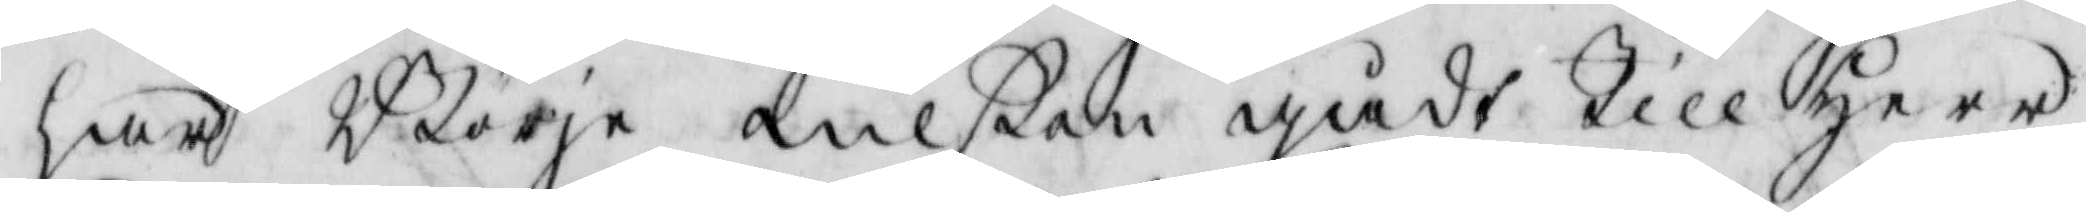har Börje nilßon gådt till Herr
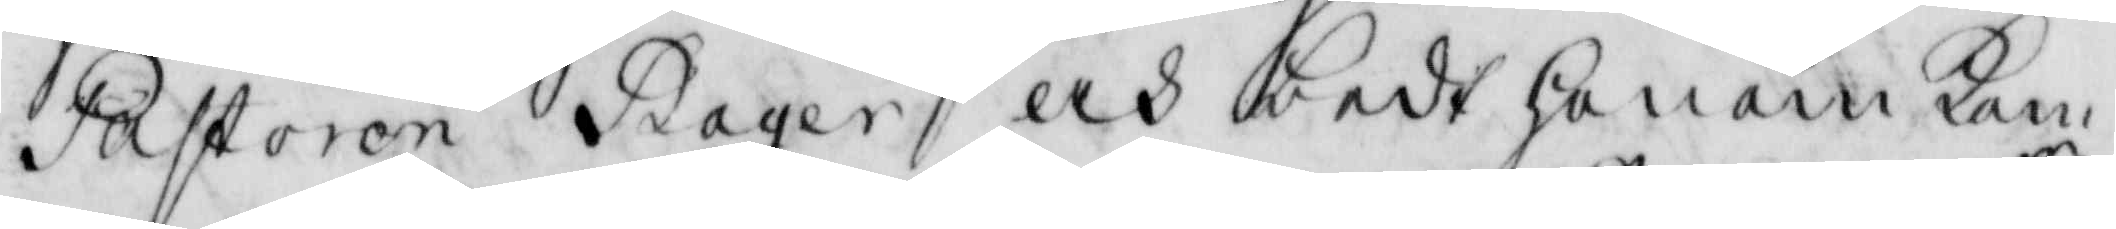Åastoren Bager och bedt honom kom¬
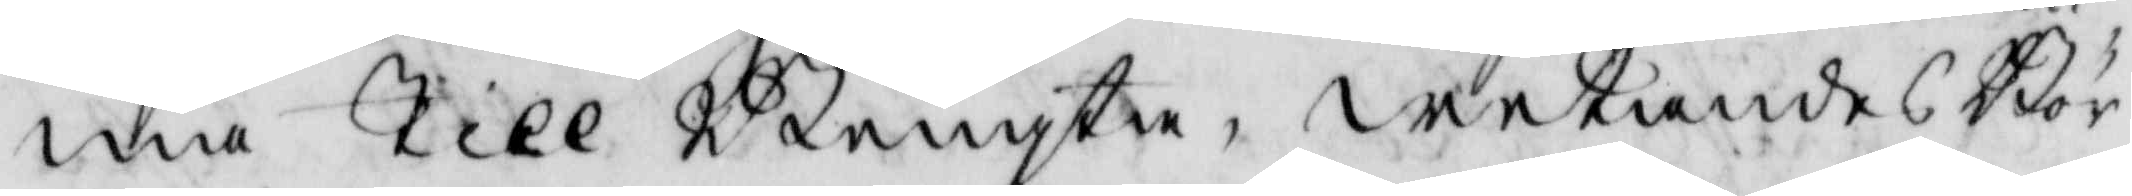ma till Bengta, wetandes Bör¬
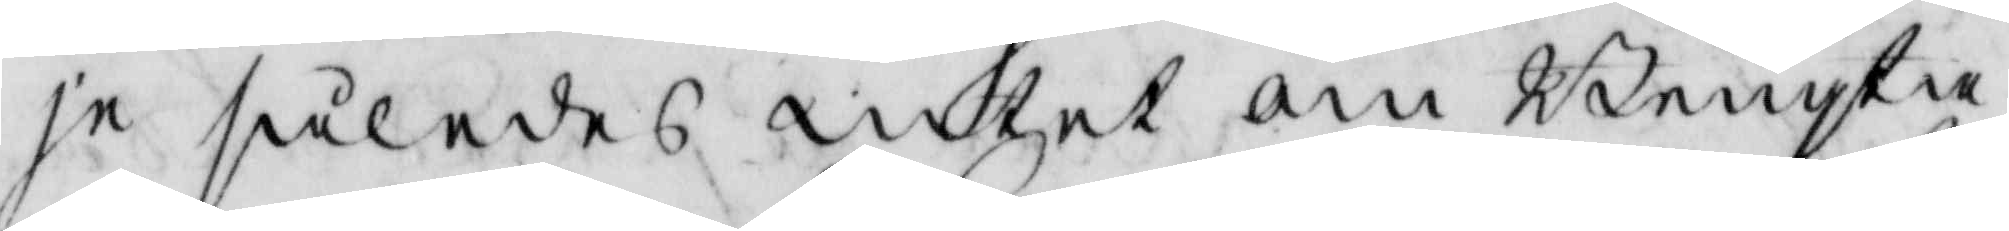je således intet om Bengta
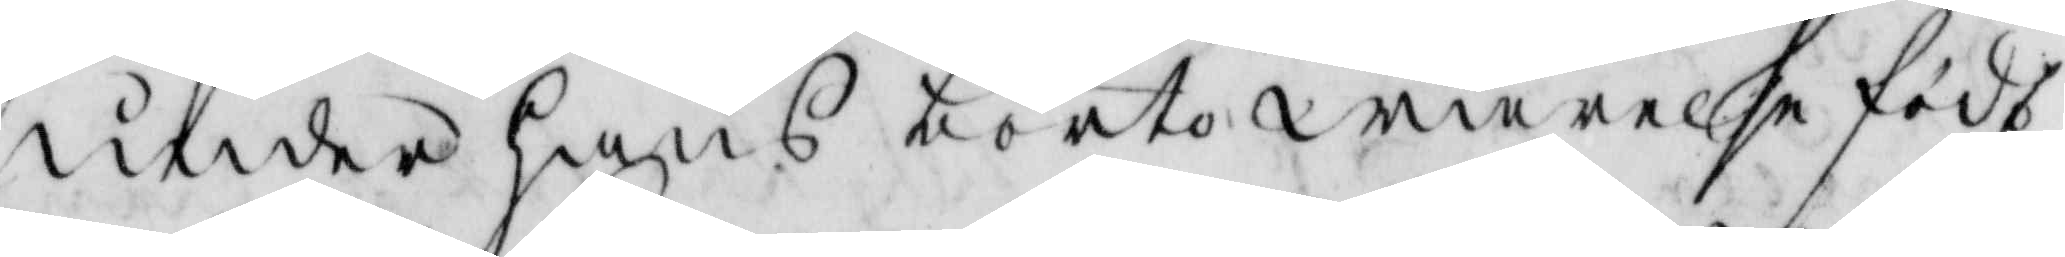under hans bortowarelse födt
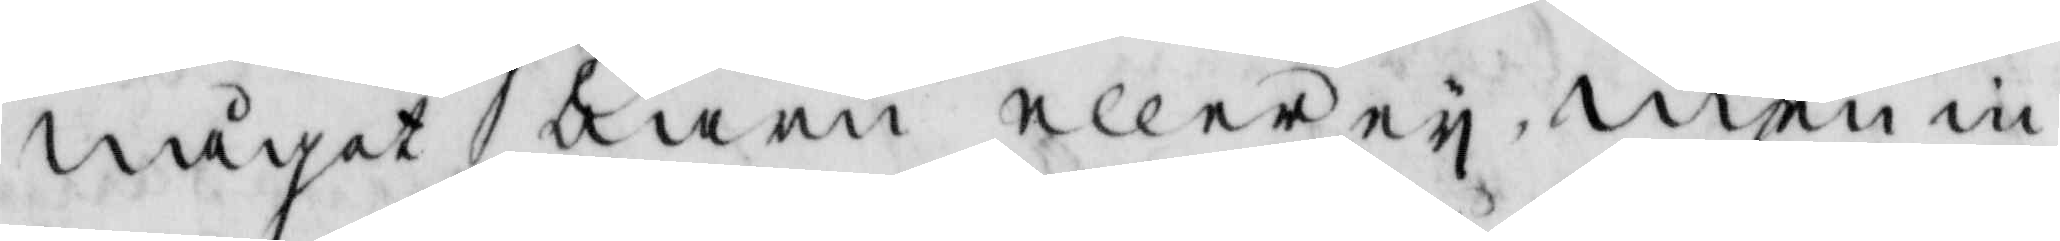något barn eller ey men in¬
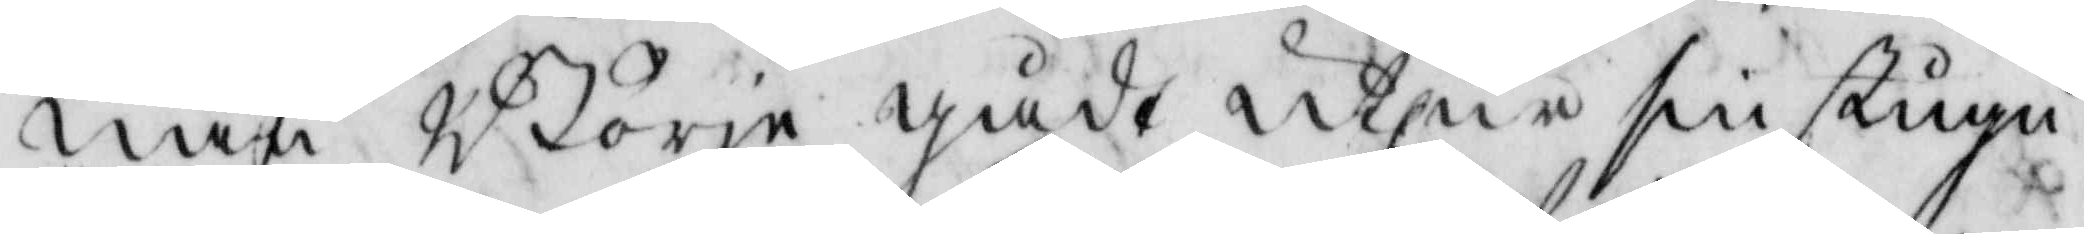nan Börje gådt ut ur sin stugu
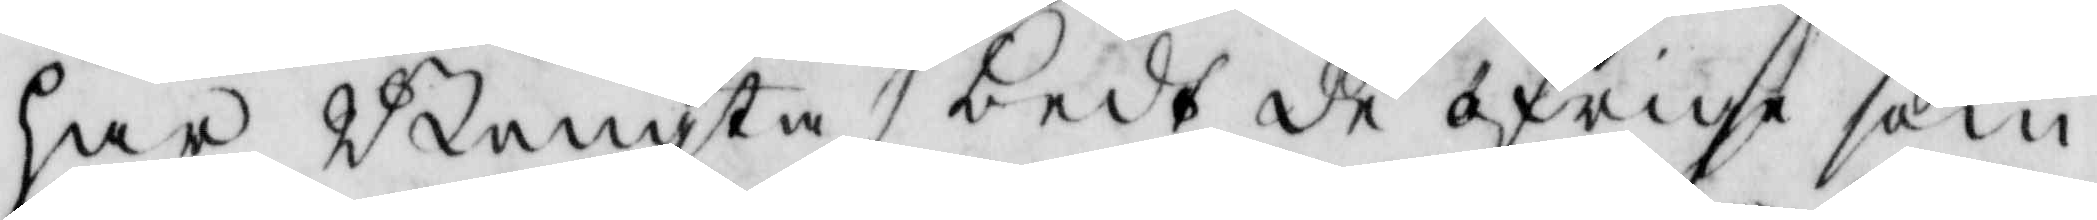har Bengta bedt de öfrige som
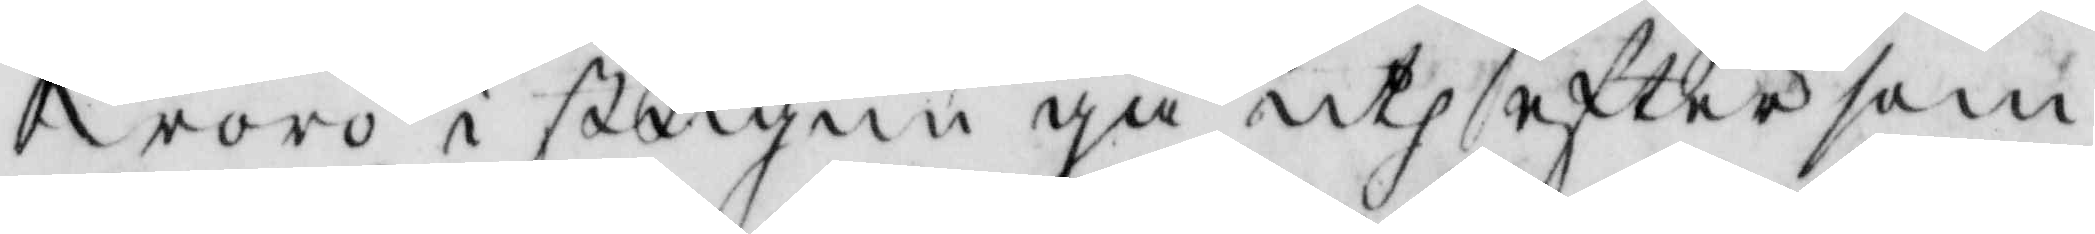woro i stugun gå uth efter som
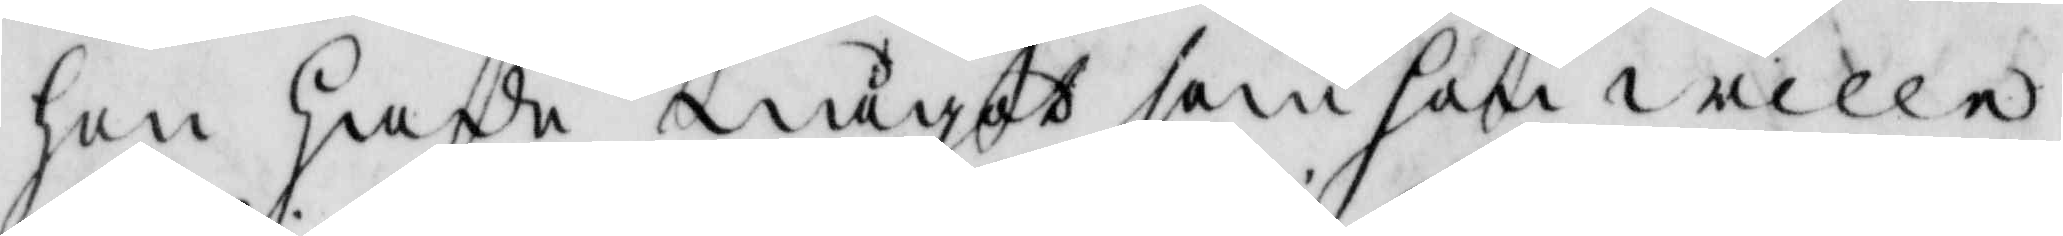hon hade något som hon wille
